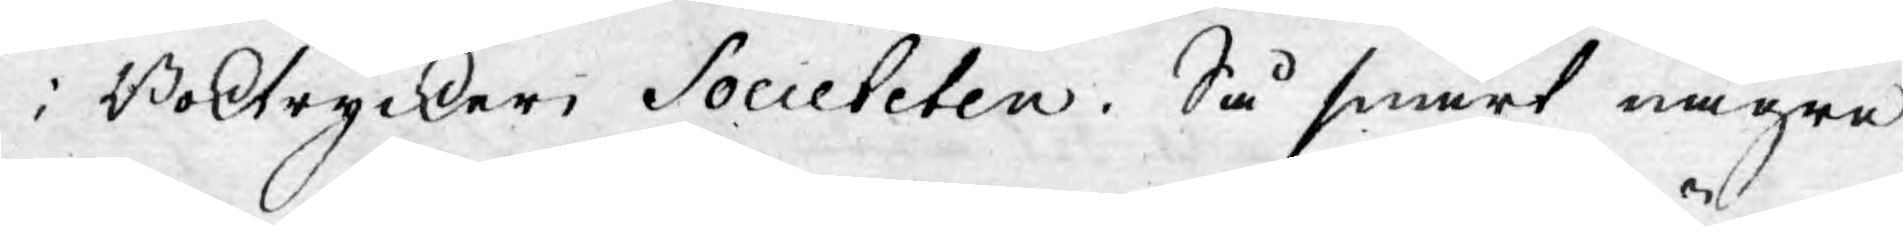i Boktryckeri Societeten. Så snart någre
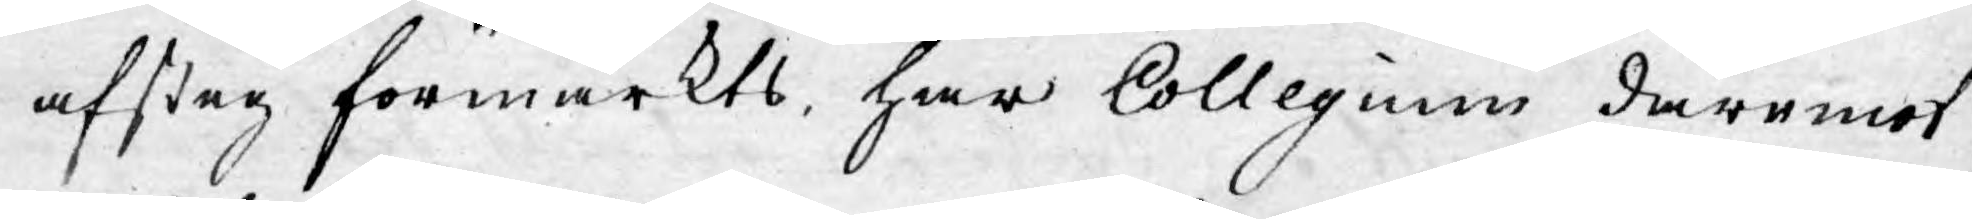afsteg förmärkts, har Collegium däremot
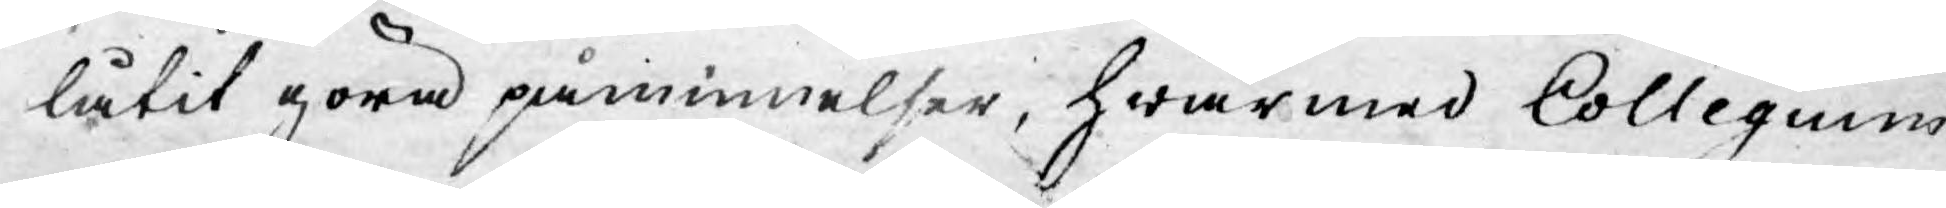låtit göra påminnelser, hwarmed Collegium
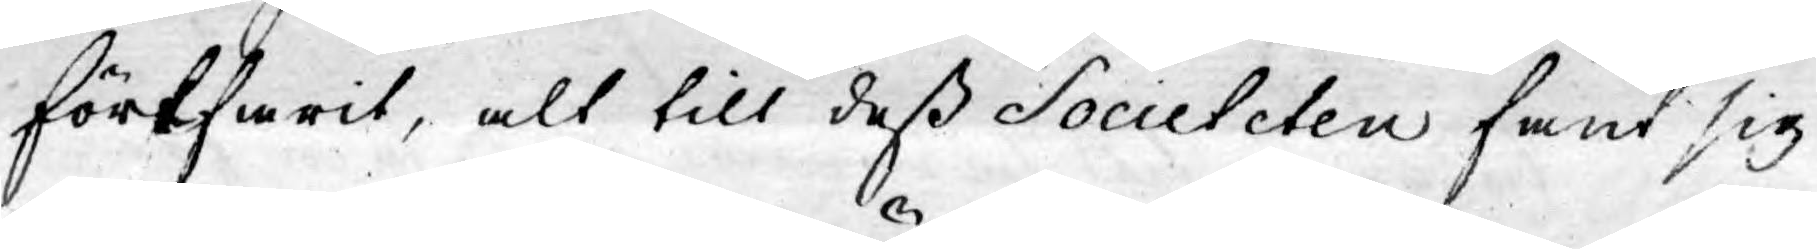förfarit, alt till dess Societeten funnit sig
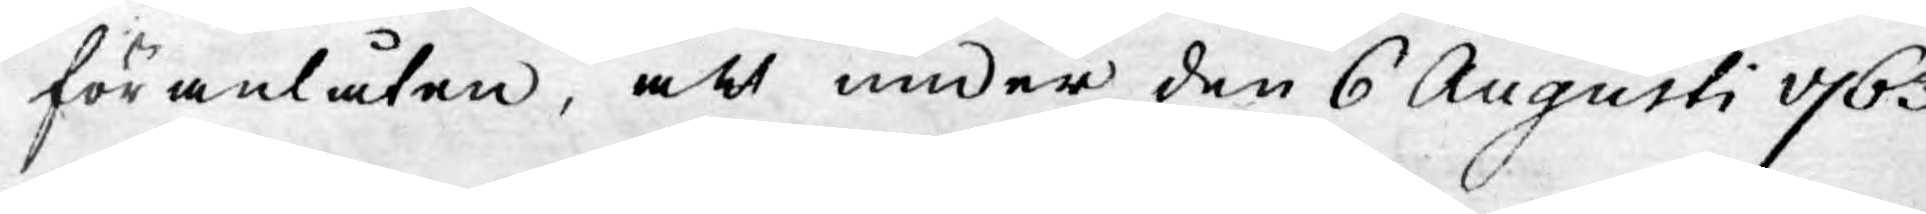föranlåten, att under den 6 Augusti 1763
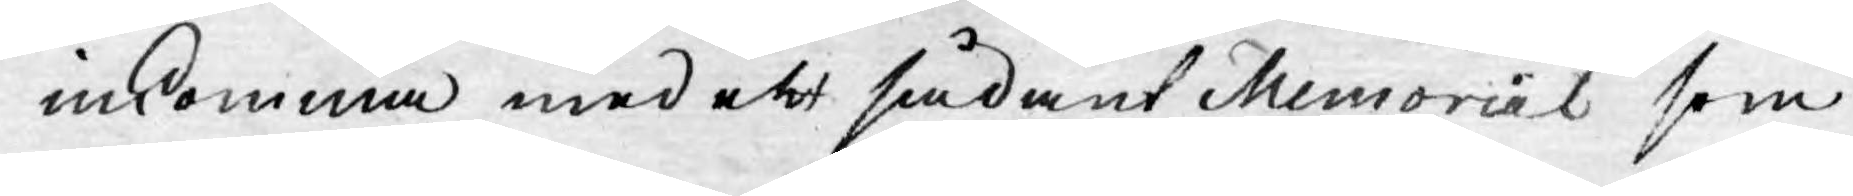inkomma med ett sådant Memorial som
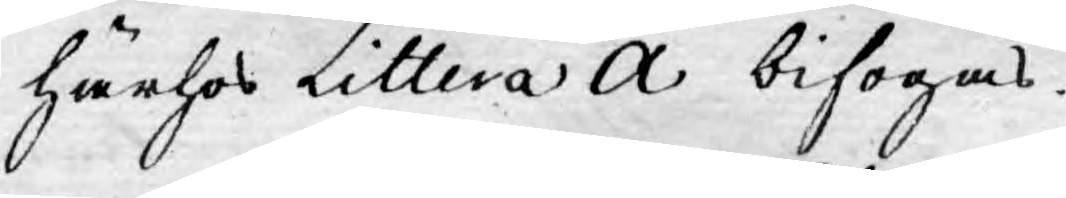härhos Littera A bifogas.
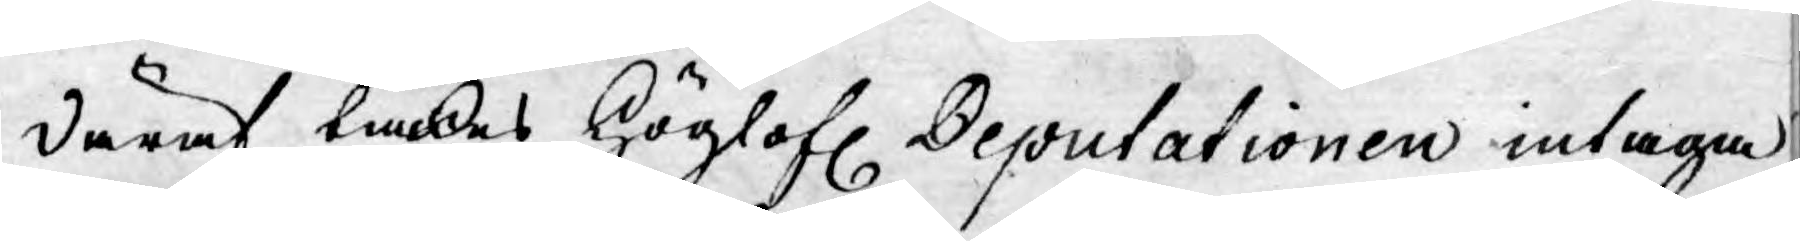Däraf tänkes Höglofl. Deputationen intaga
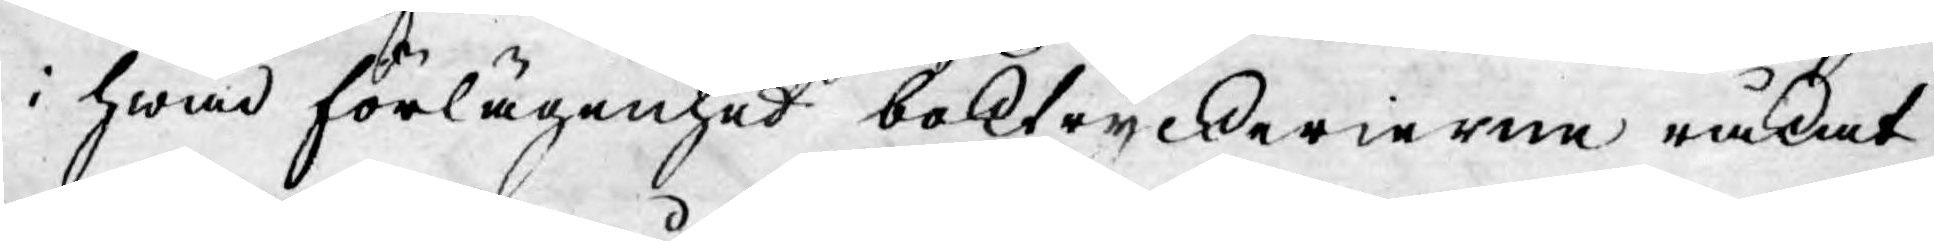i hwad förlägenhet boktryckerierne råkat
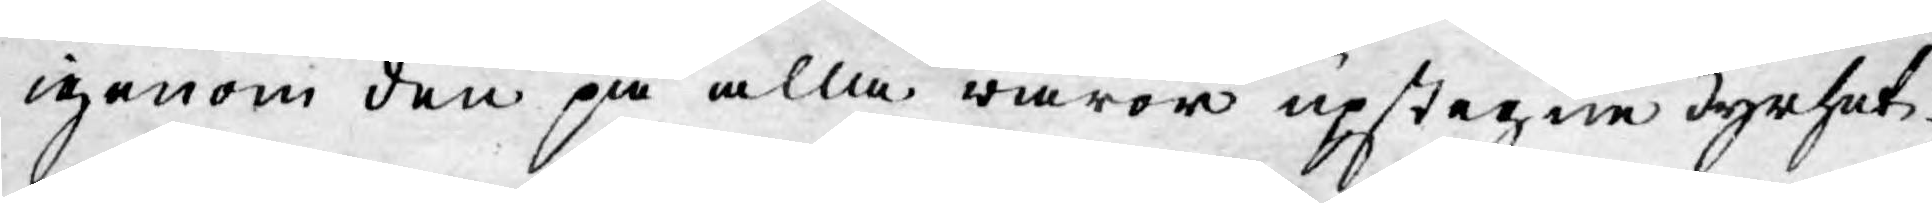igenom den på alla waror upstegne dyrhet.
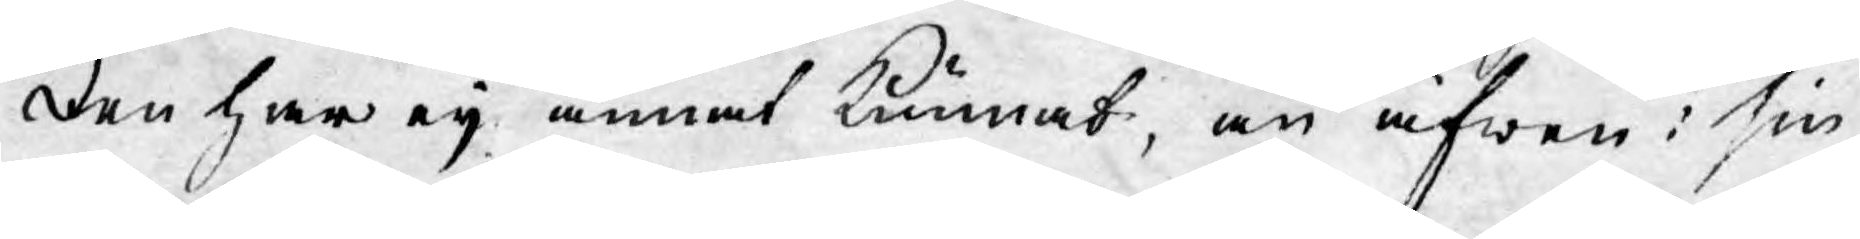Den har ej annat kunnat, än äfwen i sin
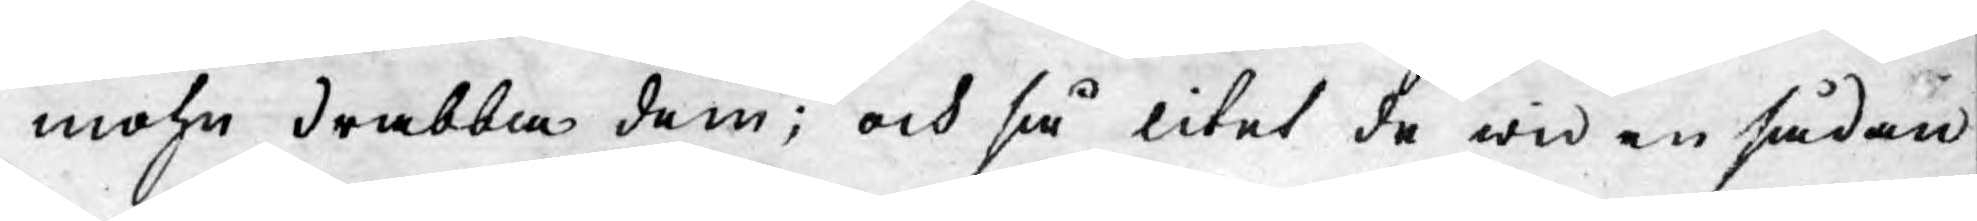mohn drabba dem; och så litet de wid en sådan
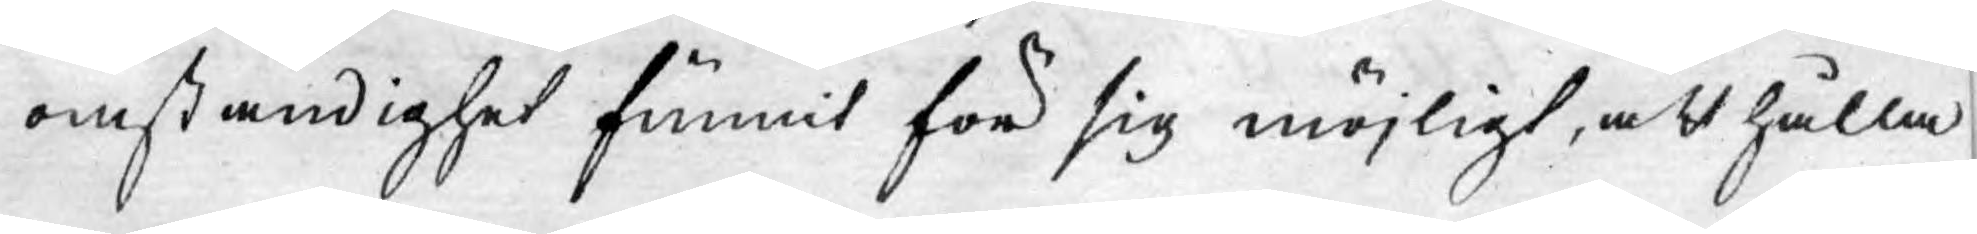omständighet funnit för sig möjligt, att hålla
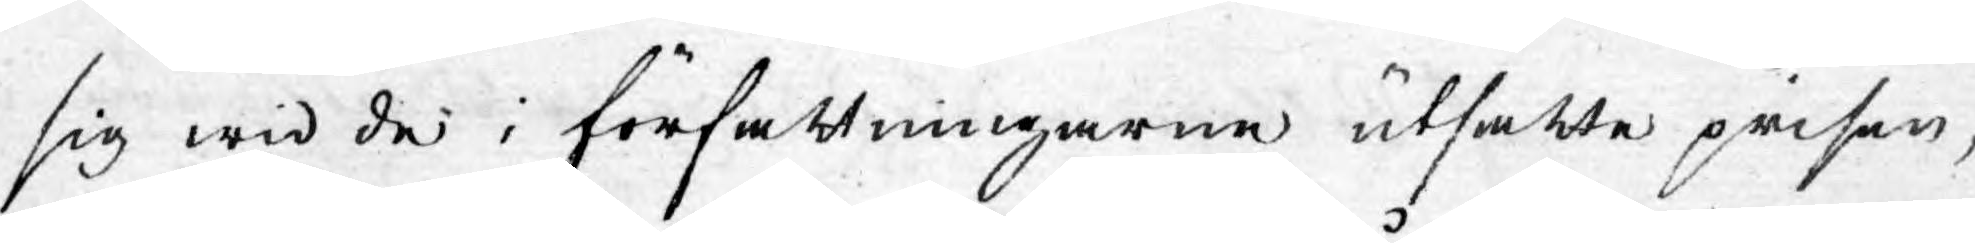sig wid de i författningarne utsatte priser,
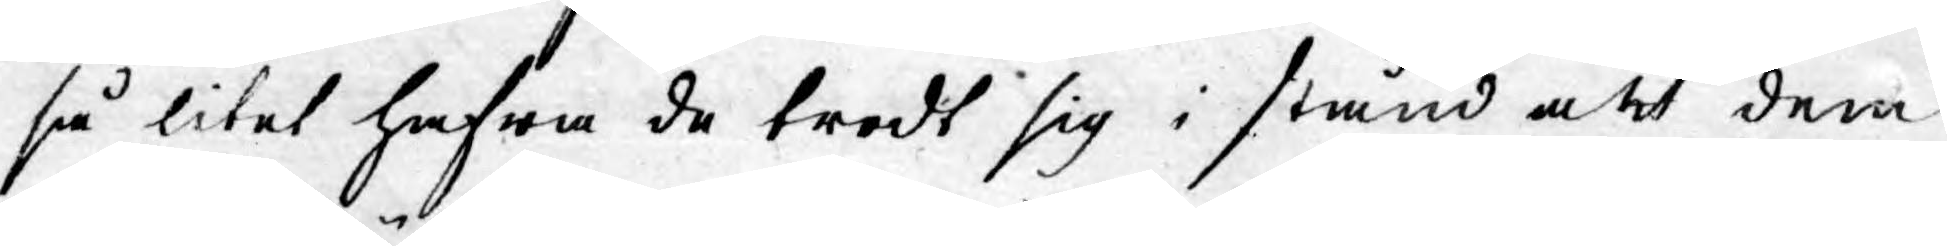så litet hafwa de trodt sig i stånd att dem
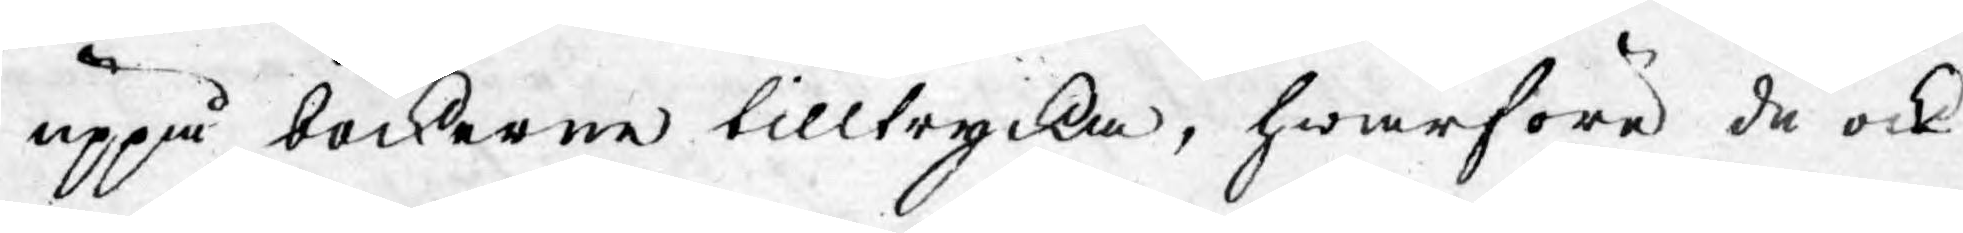uppå böckerne tilltrycka, hwarföre de ock
